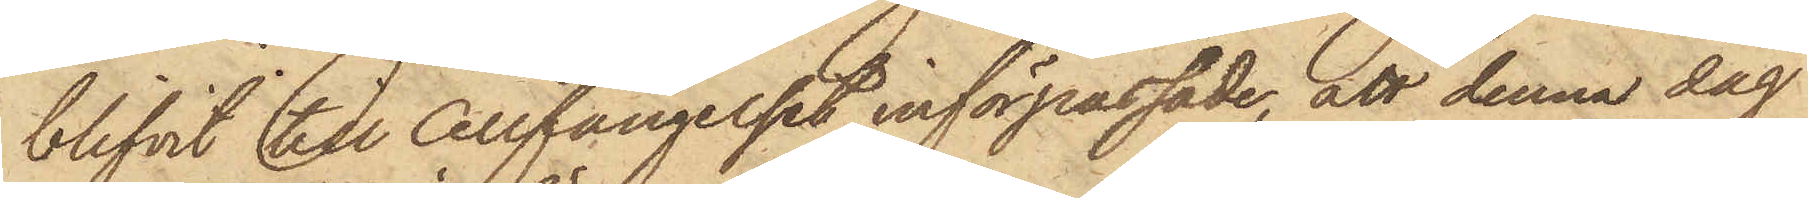blifvit till Cellfängelset införpassade, att denna dag
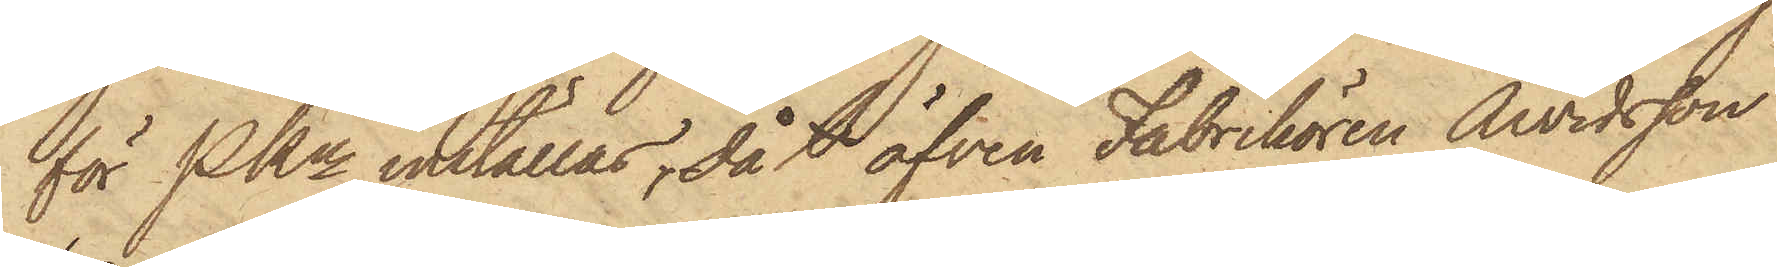för PKn inställas, då l äfven Fabrikören Arvidsson
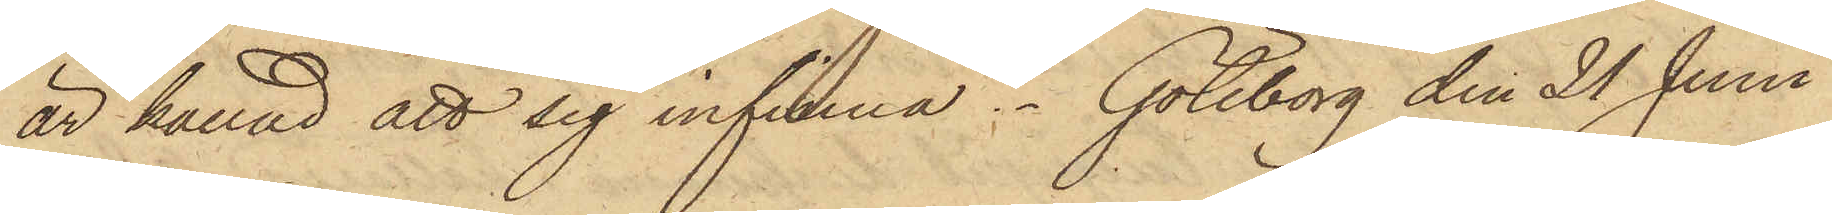är kallad att sig infinna. Göteborg den 21 Juni
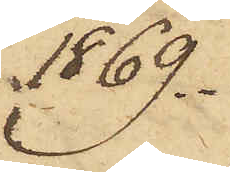1869.
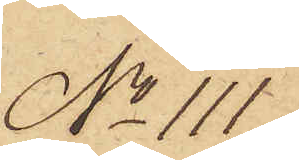No 111.
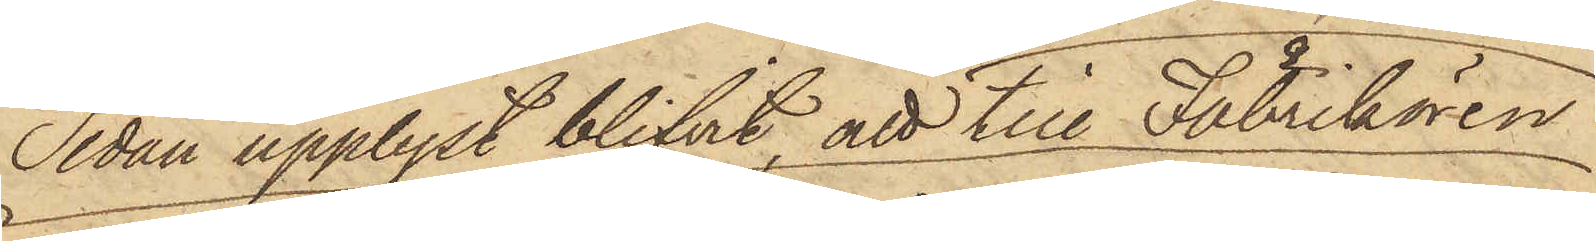Sedan upplyst blifvit att till Fabrikören
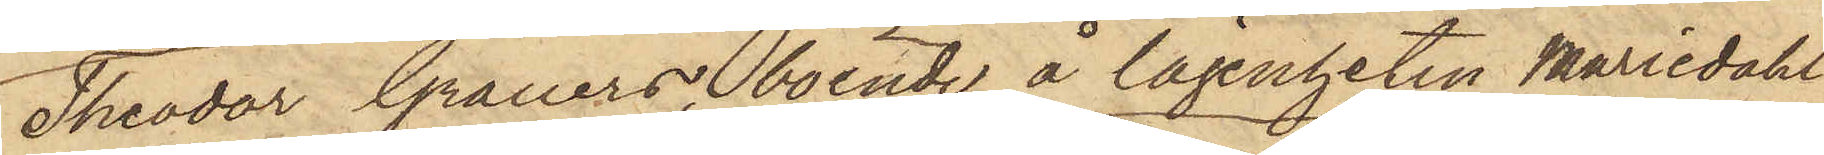Theodor Grauers, boende å lägenheten Mariedahl
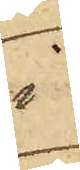i
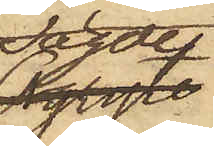sagde
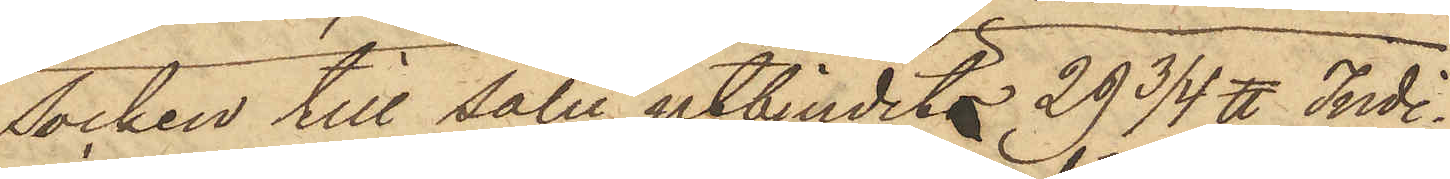Socken till salu utbjudits 29 3/4 ℔ Indi¬
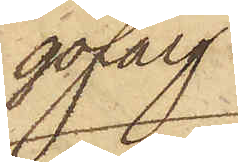gofärg
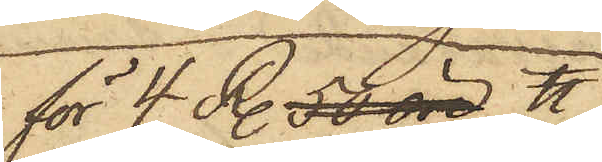för 4 R. 50 öre ℔
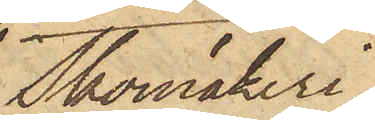Skomakeri¬
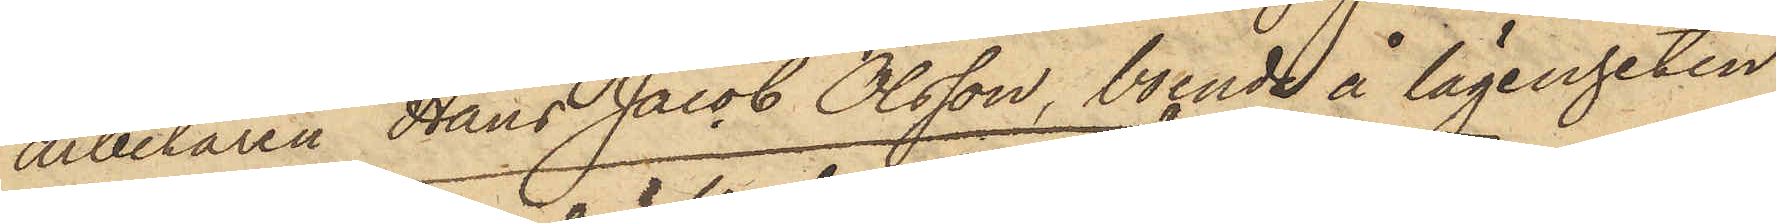arbetaren Hans Jacob Olsson, boende å lägenheten
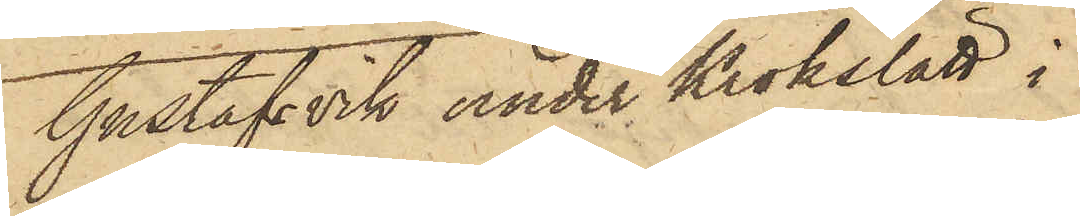Gustafsvik under Krokslätt i
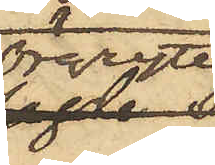Örgryte,
